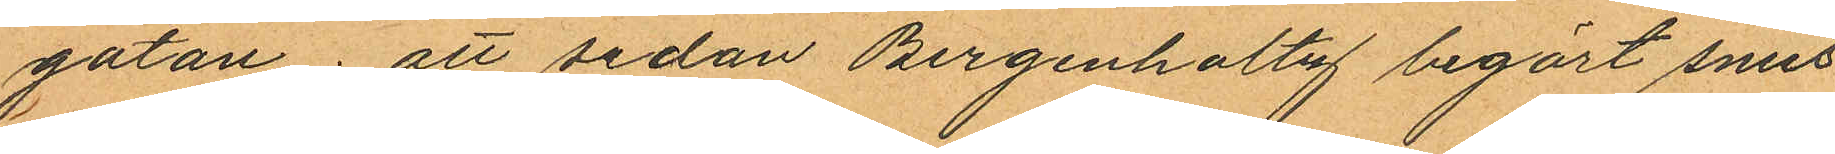gatan; att sedan Bergenholtz begärt snus
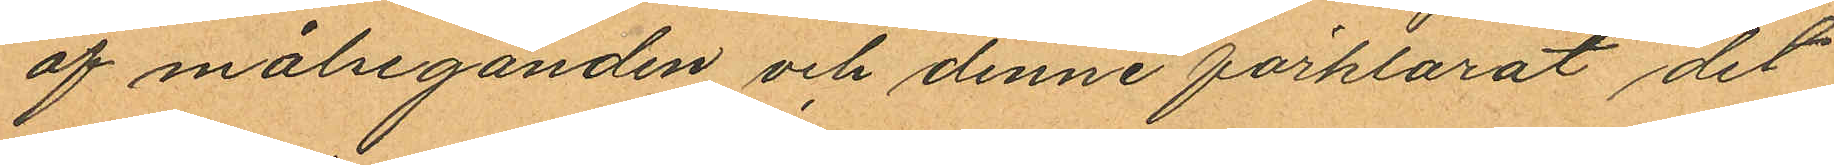af målseganden och denne förklarat det
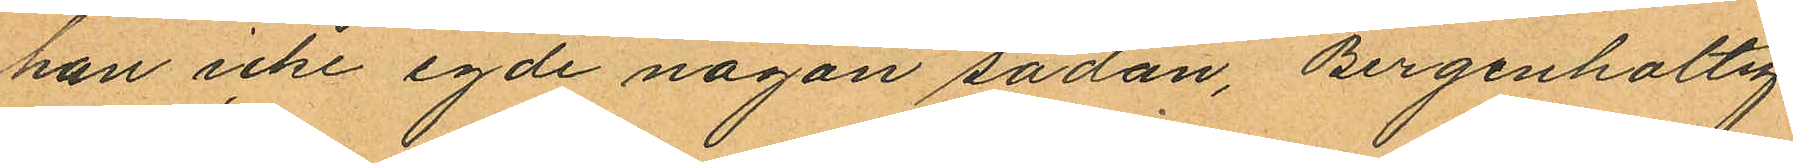han icke egde någon sådan, Bergenholtz
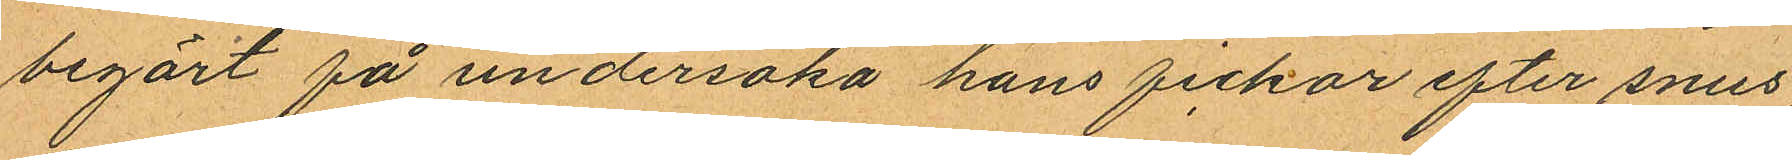begärt få undersöka hans fickor efter snus,
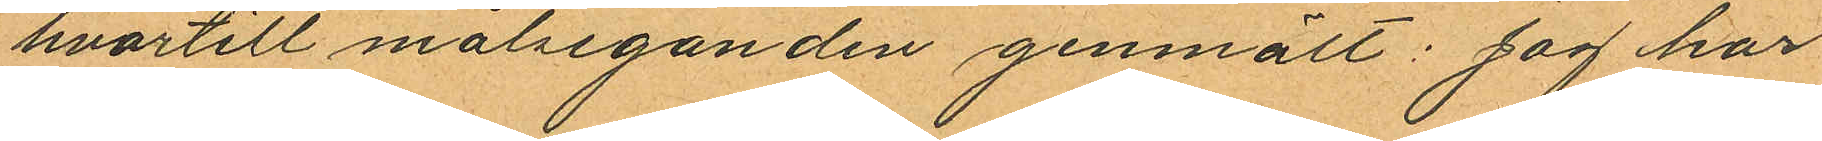hvartill målseganden genmält: jag har
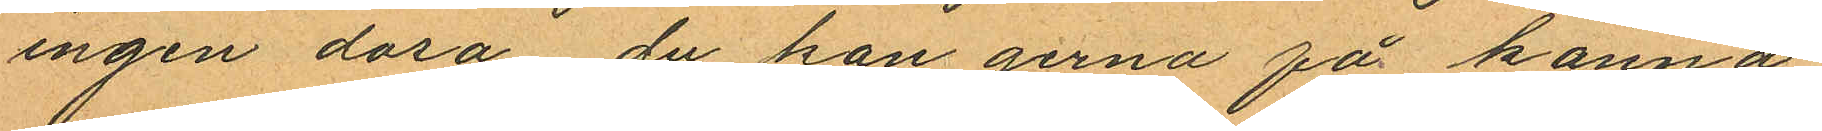ingen dosa du han gerna få känna";
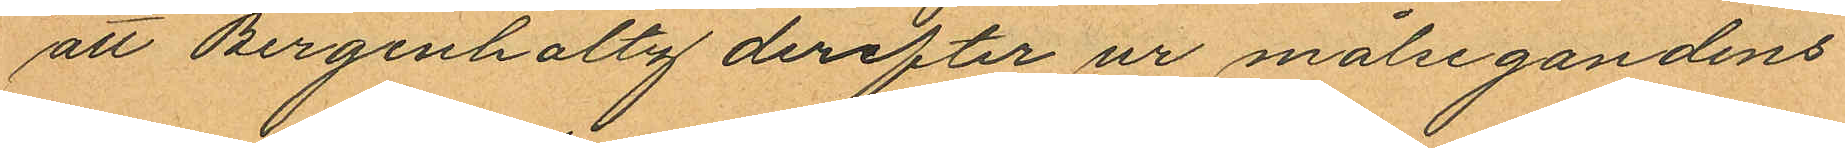att Bergenholtz derefter ur målsegandens
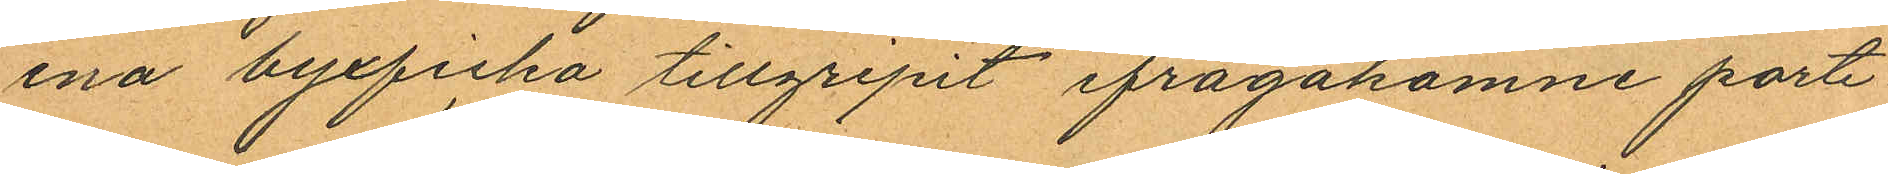ena byxficka tillgripit ifrågakomne porte¬
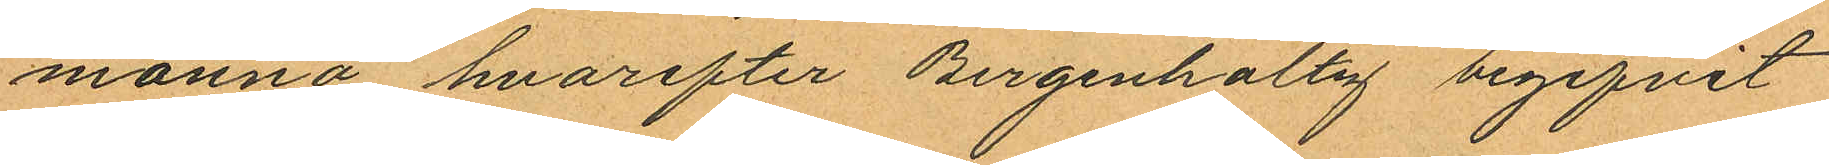monnä hvarefter Bergenholtz begifvit
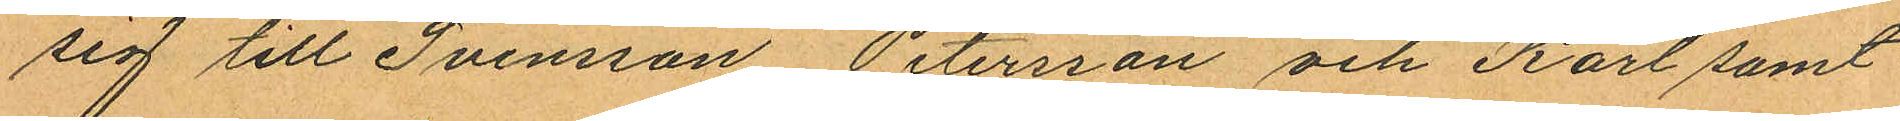sig till Svensson Petersson och Karl samt
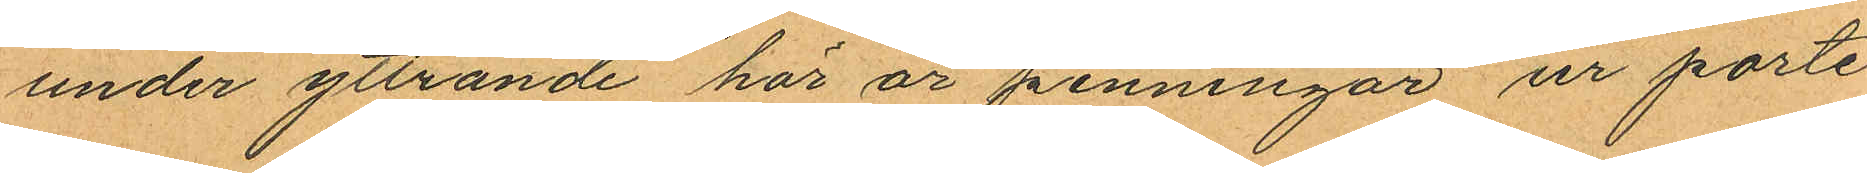under yttrande "här är penningar" ur porte
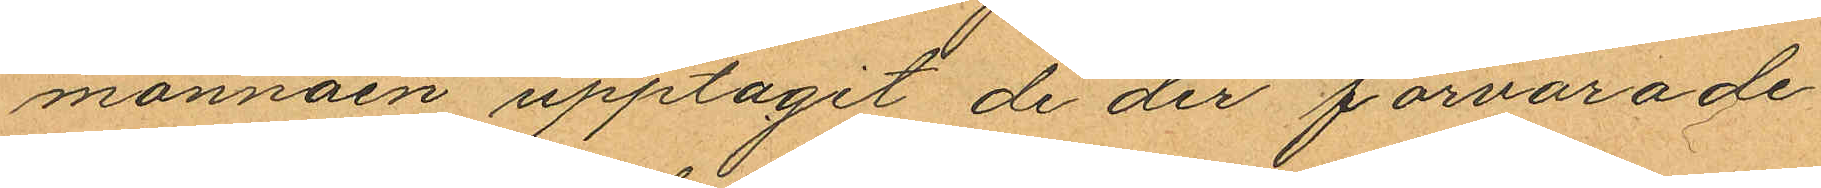monnäen upptagit de der förvarade
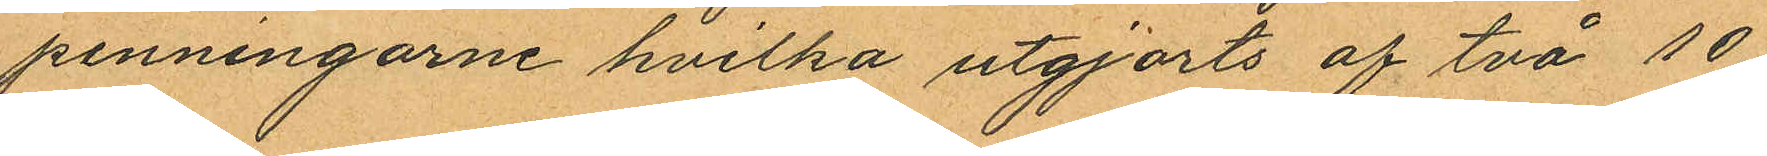penningarne hvilka utgjorts af två 10
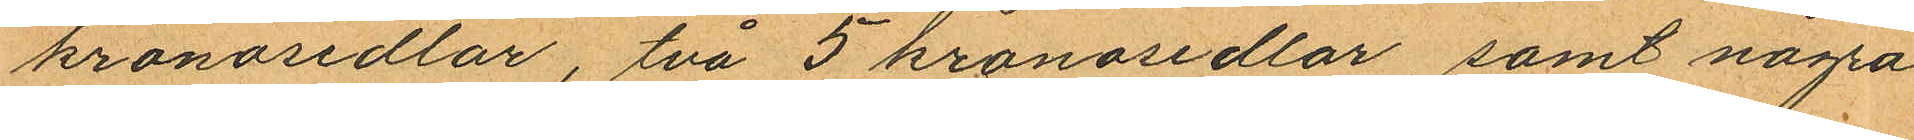kronosedlar, två 5 kronosedlar, samt några
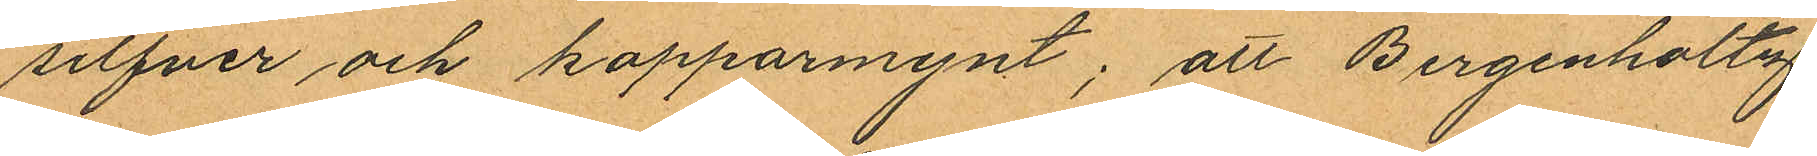silfver och kopparmynt; att Bergenholtz
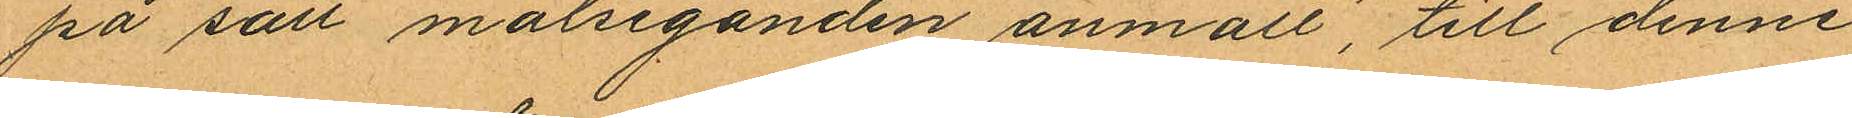på sätt målseganden anmält, till denne
